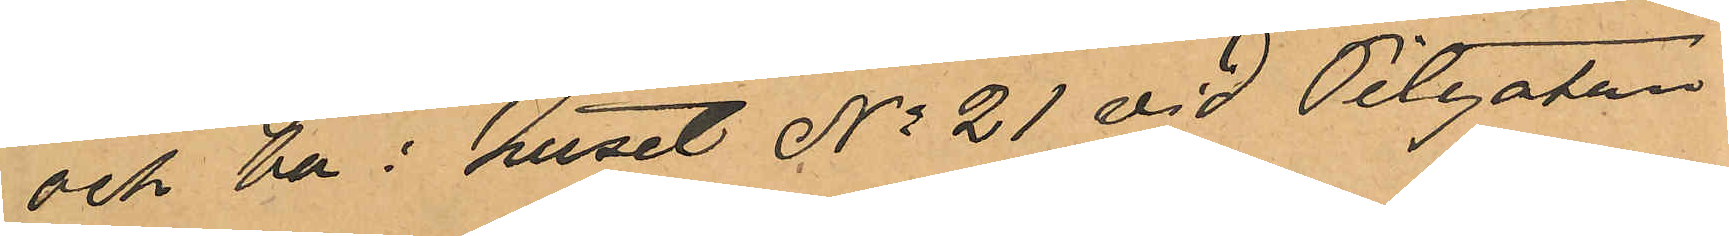och bo i huset No 21 vid Pilgatan.
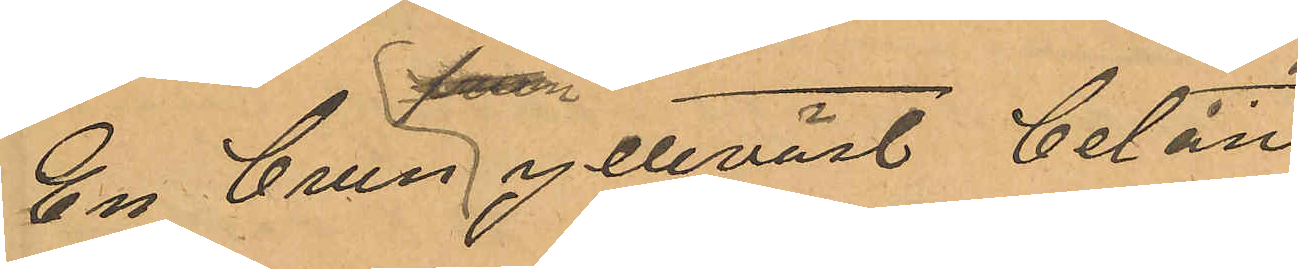En brun ylleväst belån¬
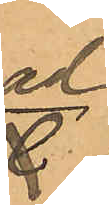ad
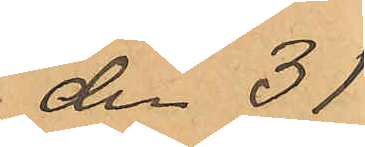den 31
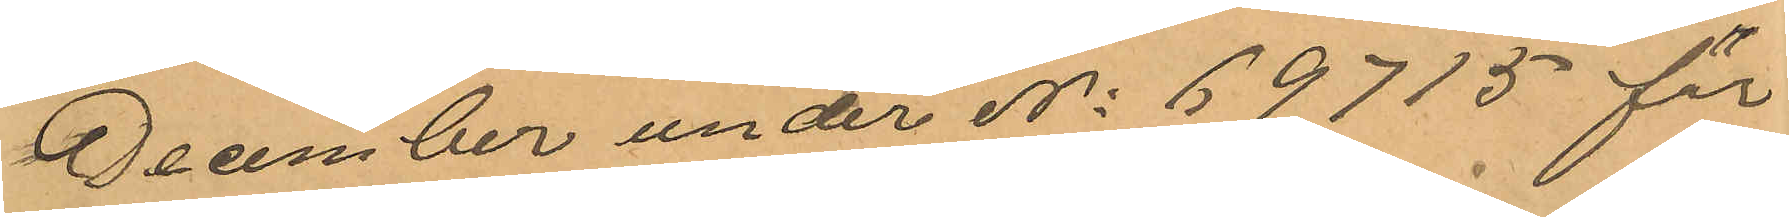December under No 69715 för
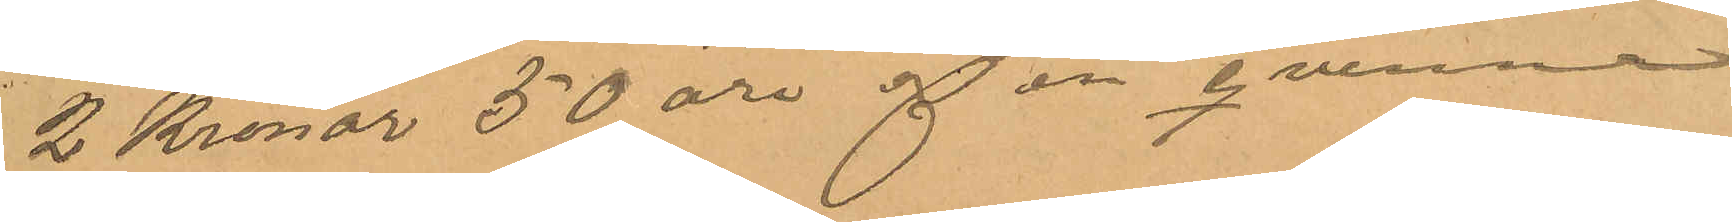2 Kronor 50 öre af en qvinna
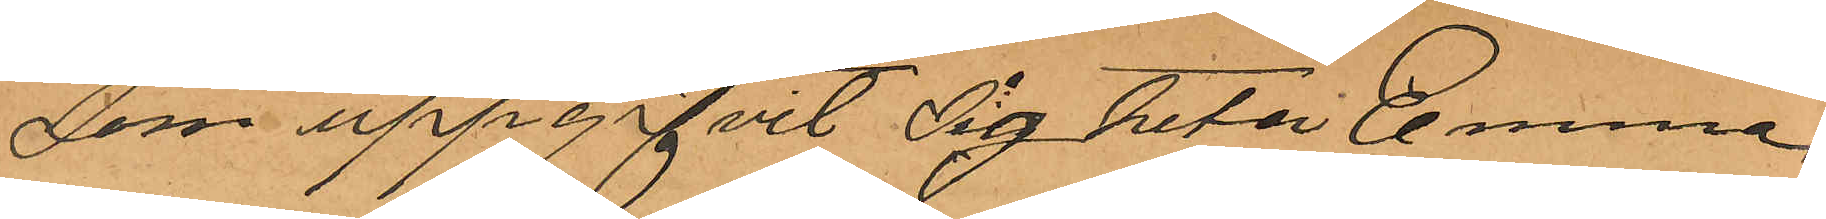som uppgifvit sig heta Emma
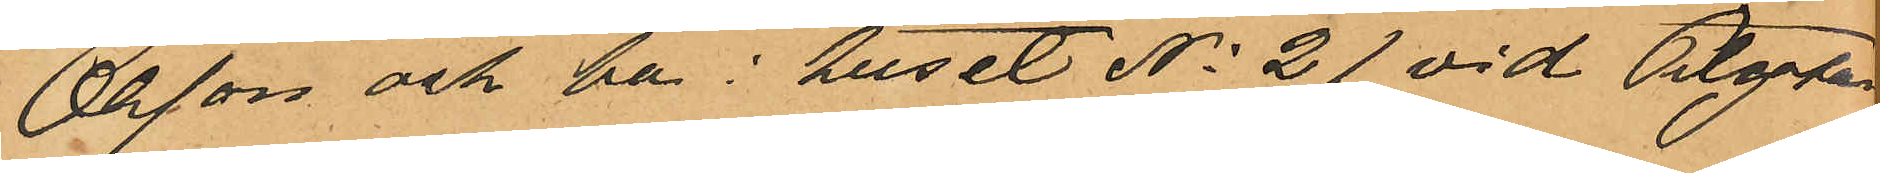Olsson och bo i huset No 21 vid Pilgatan.
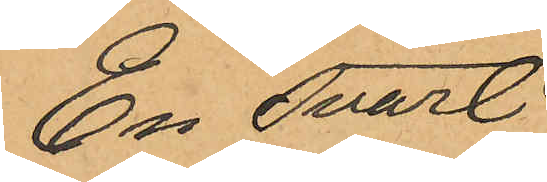En svart
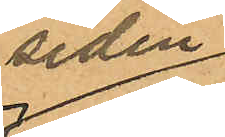siden
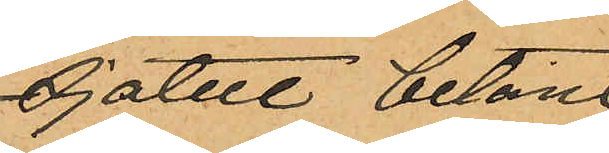sjalett belån¬
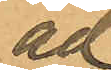ad
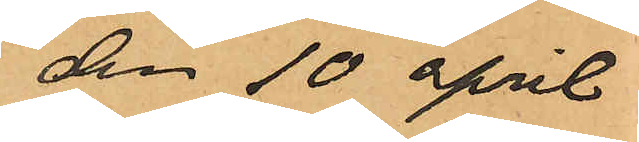den 10 april
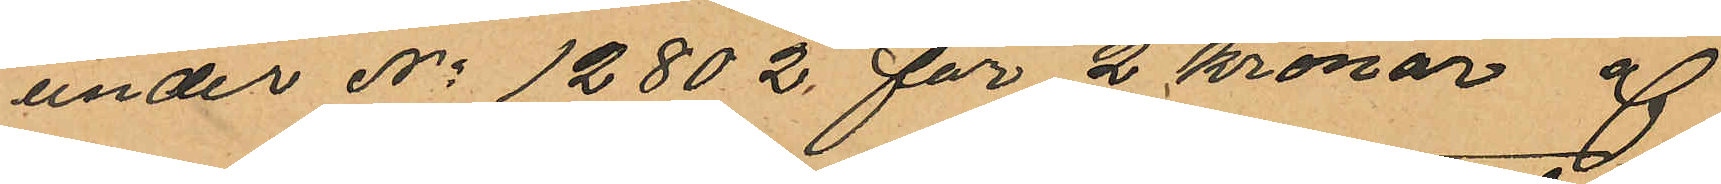under No 12802 för 2 kronor af
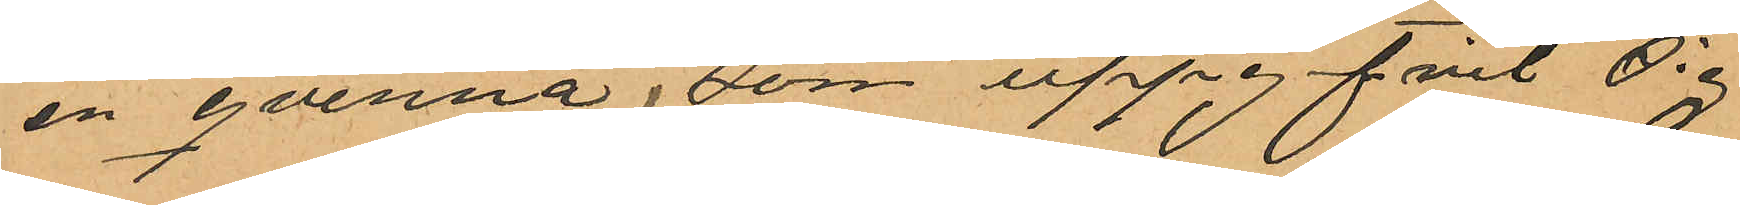en qvinna, som uppgifvit sig
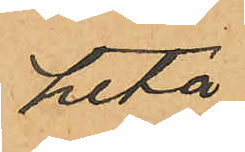heta
